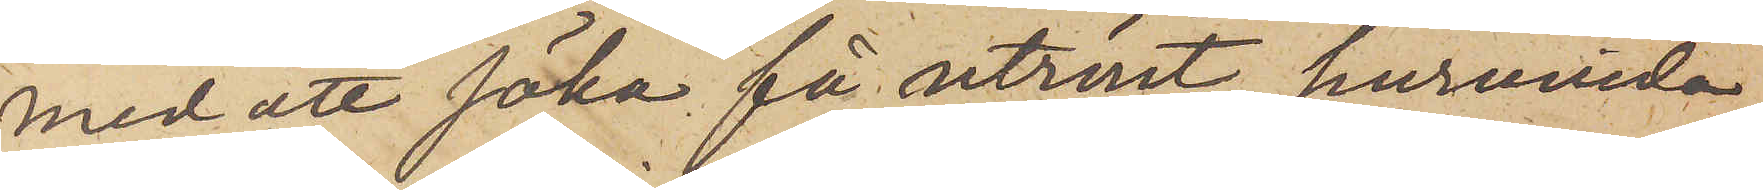med att söka få utrönt, huruvida
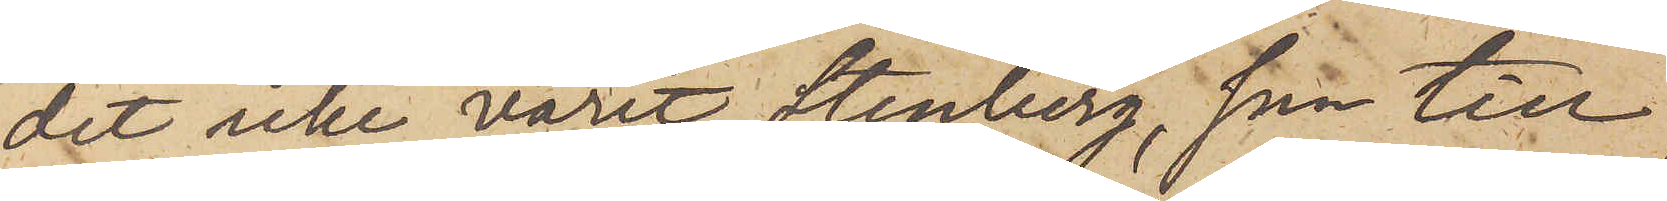det icke varit Stenberg, som till
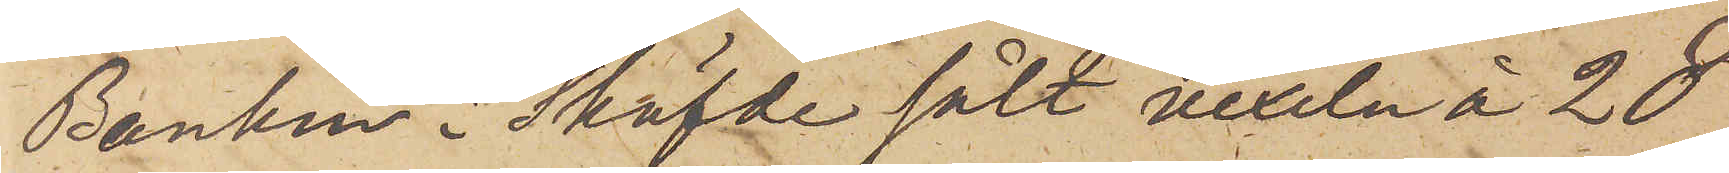Banken i Sköfde sålt vexeln å 28
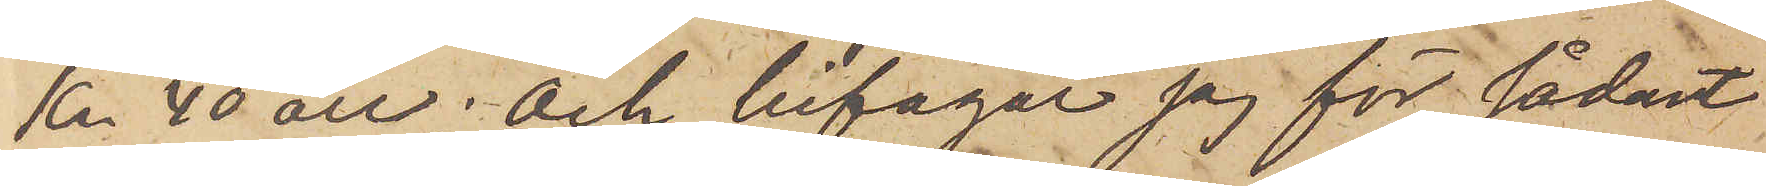kr 40 öre; och bifogar jag för sådant
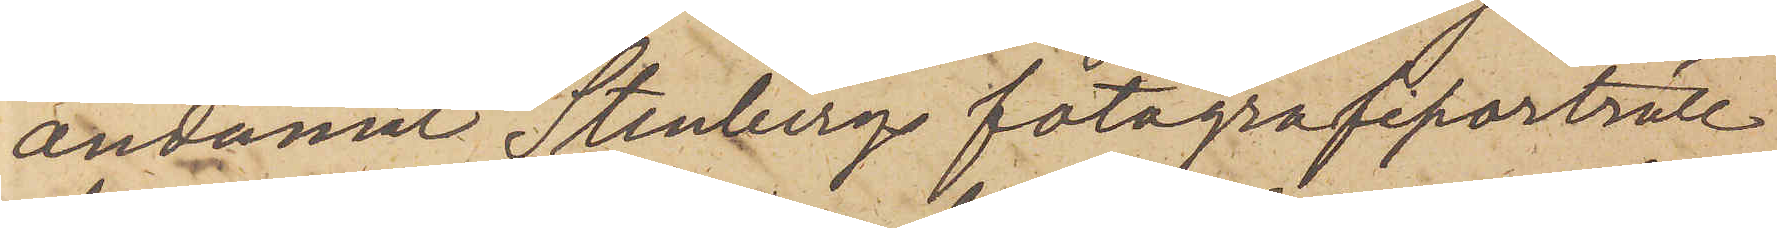ändamål Stenbergs fotografiporträtt
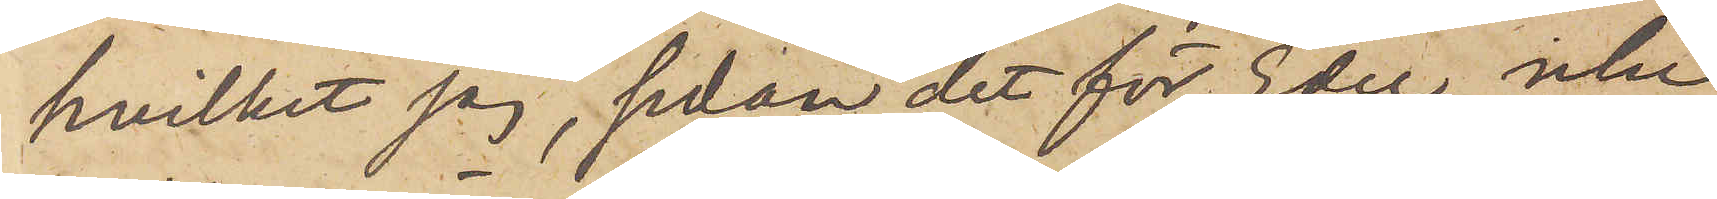hvilket jag, sedan det för Eder icke
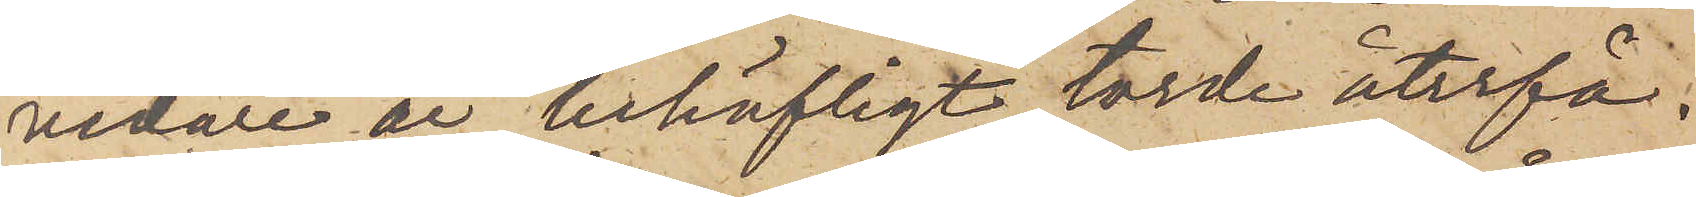vidare är behöfligt, torde återfå.
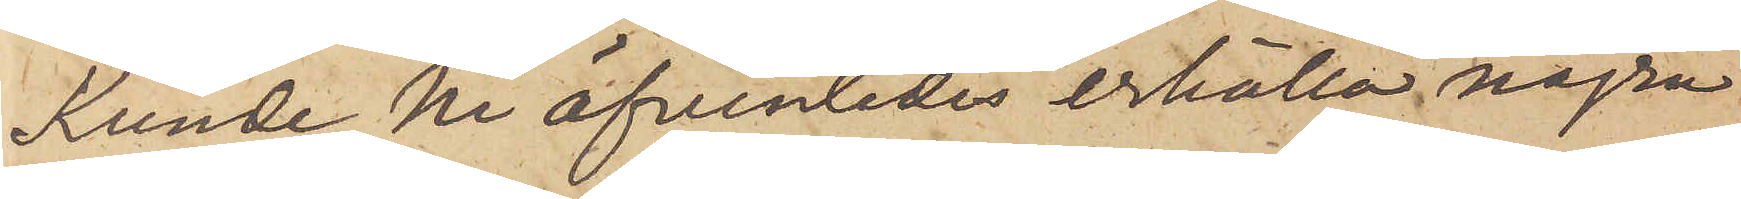Kunde Ni äfvenledes erhålla några
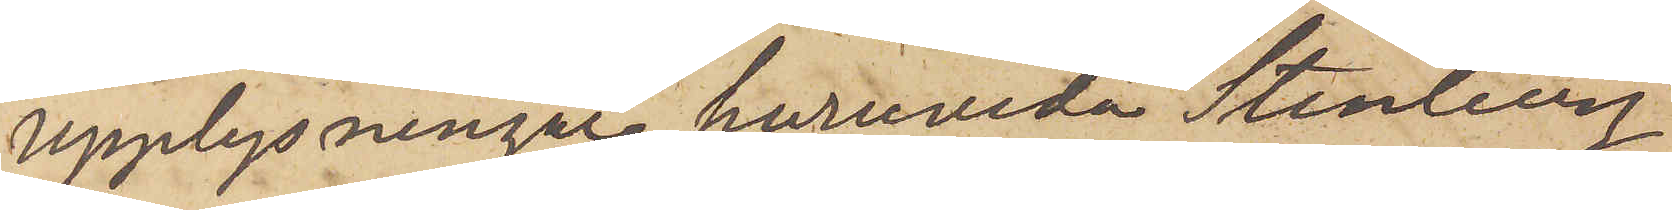upplysningar, huruvida Stenberg
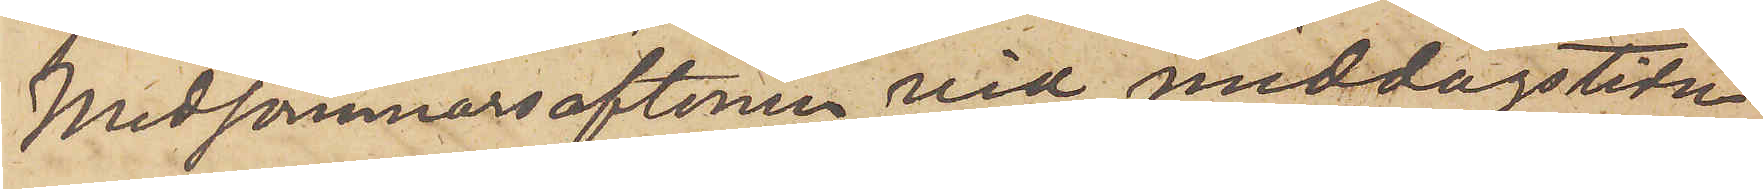Midsommarsaftonen vid middagstidn
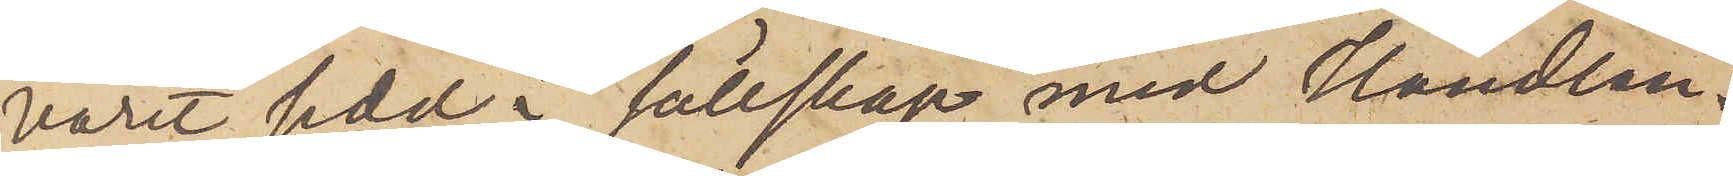varit sedd i sällskap med Handlan¬
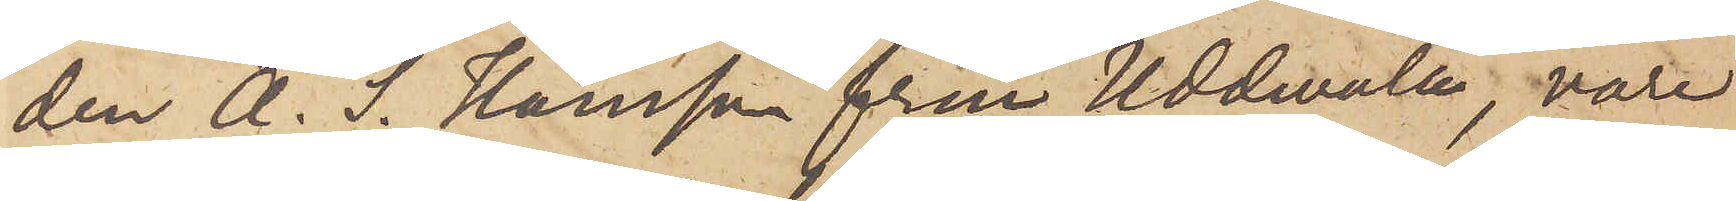den A. S. Hansson från Uddevalla, vore
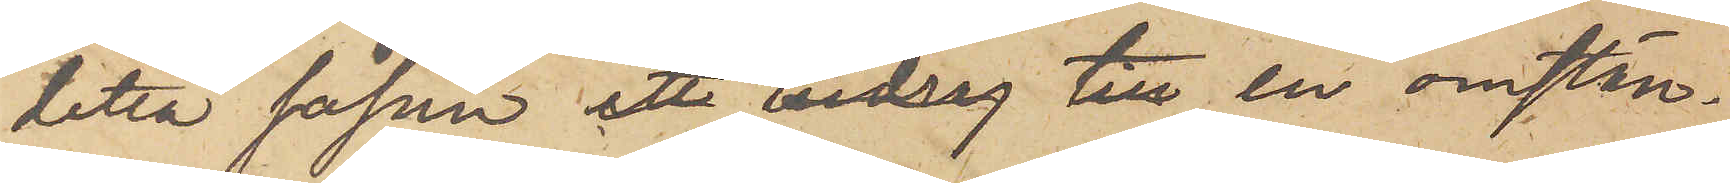detta såsom ett bidrag till en omstän¬
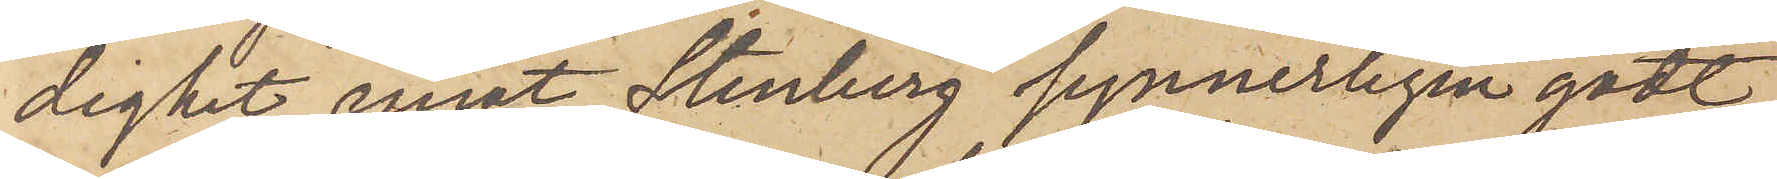dighet emot Stenberg synnerligen godt,
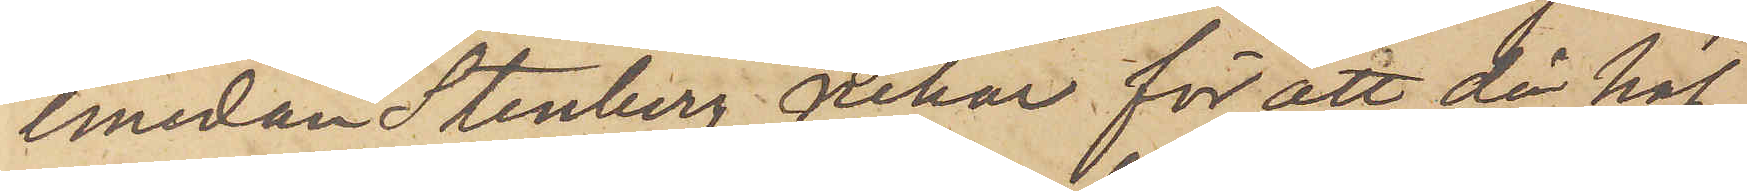emedan Stenberg nekar för att då haf¬
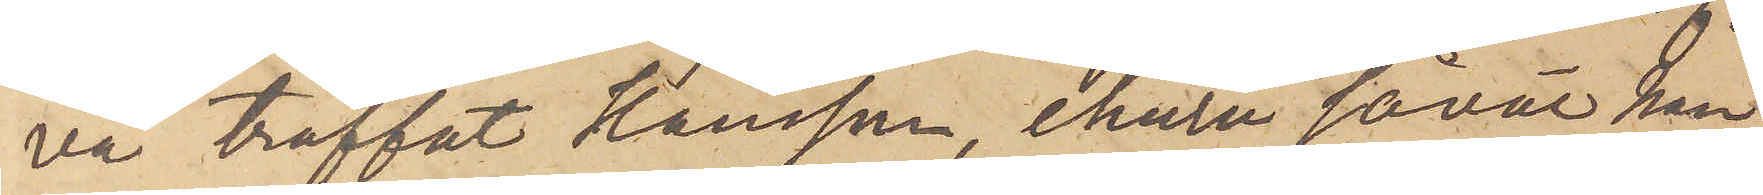va träffat Hansson, ehuru såväl han
